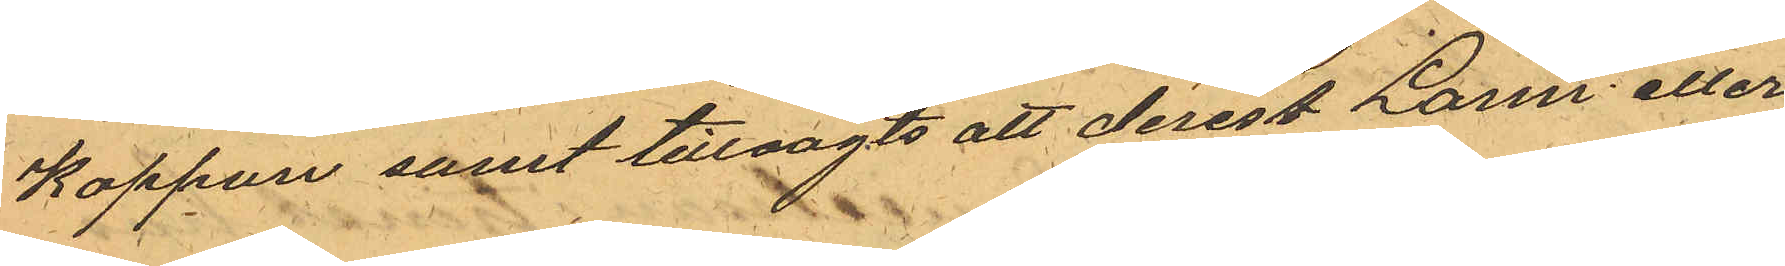Kappan samt tillsagts att derest Larm eller
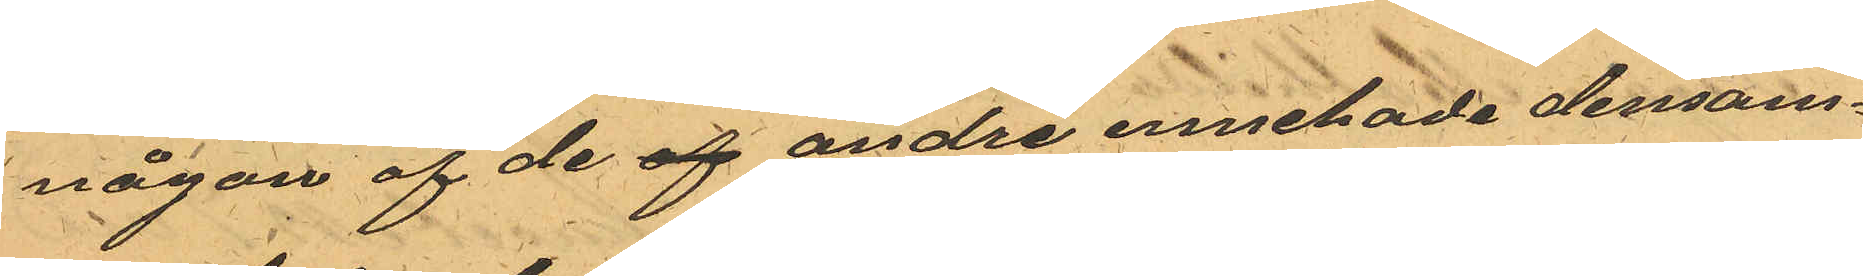någon af de af andre innehade densam¬
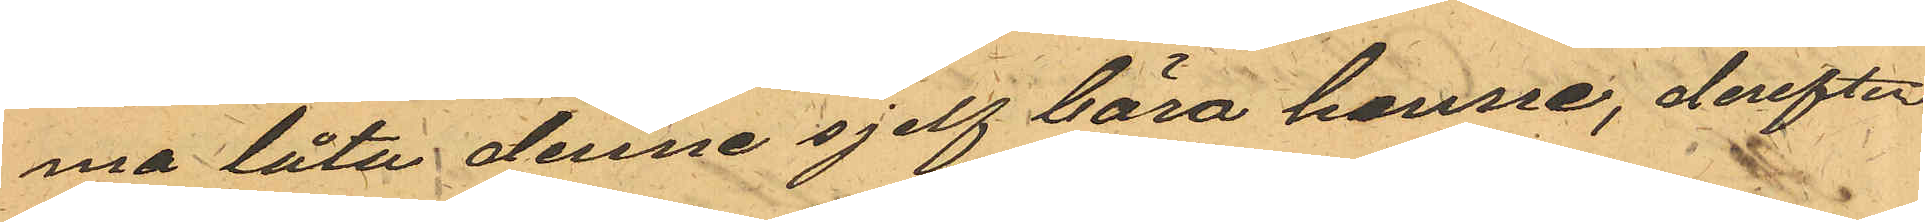ma låta denne sjelf bära henne, derefter
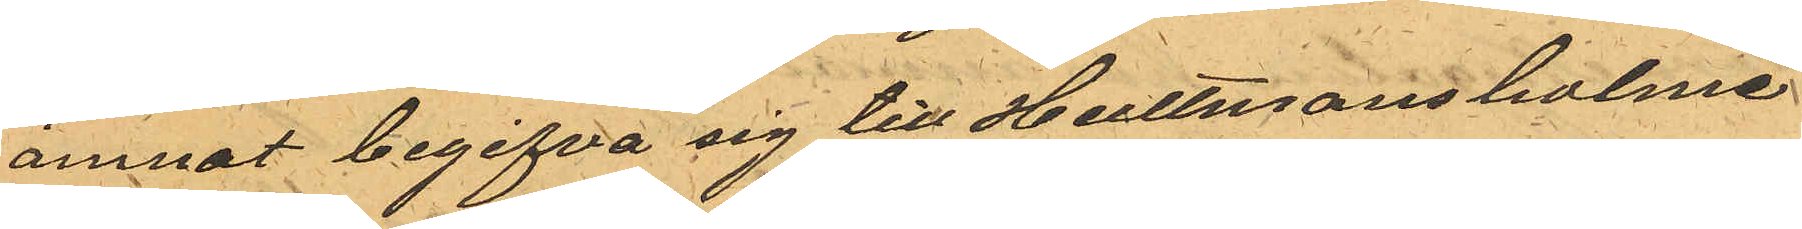ämnat begifva sig till Hultmansholme
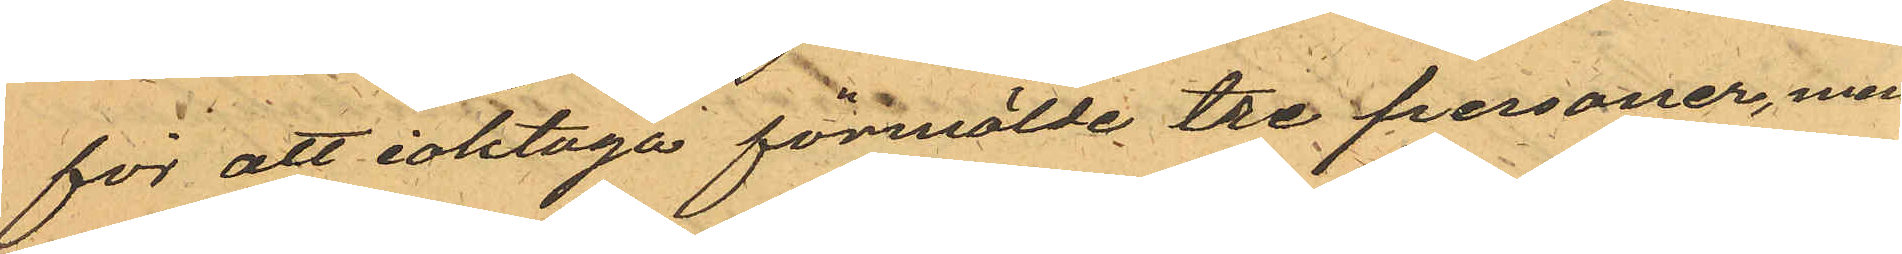för att iaktaga förmälde tre personer, men
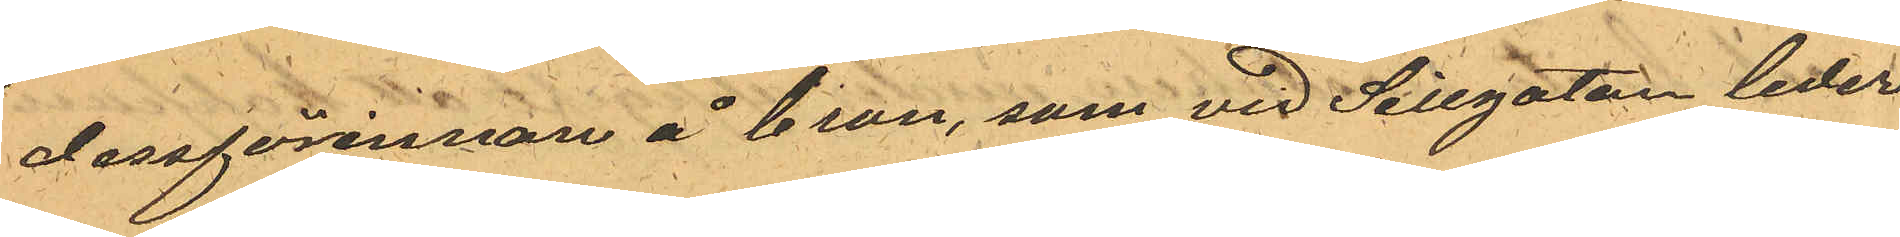dessförinnan å bron, som vid Sillgatan leder
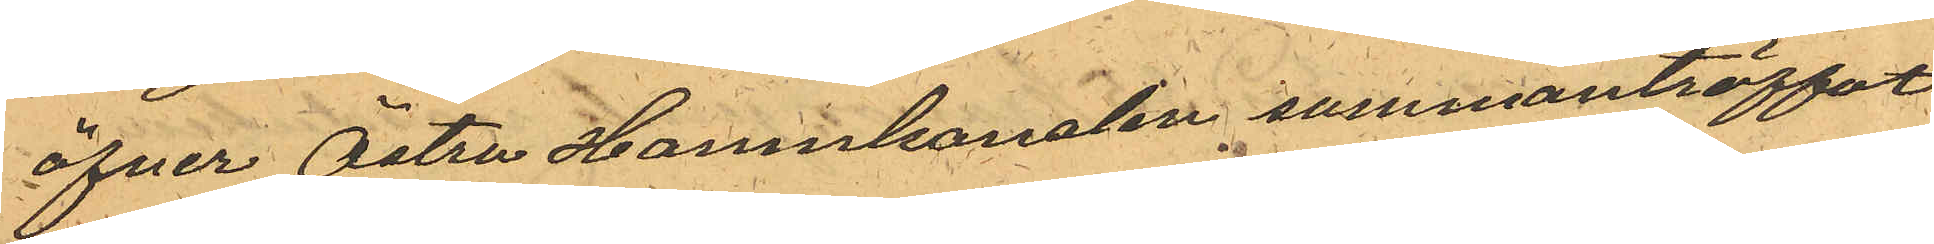öfver Östra Hamnkanalen sammanträffat
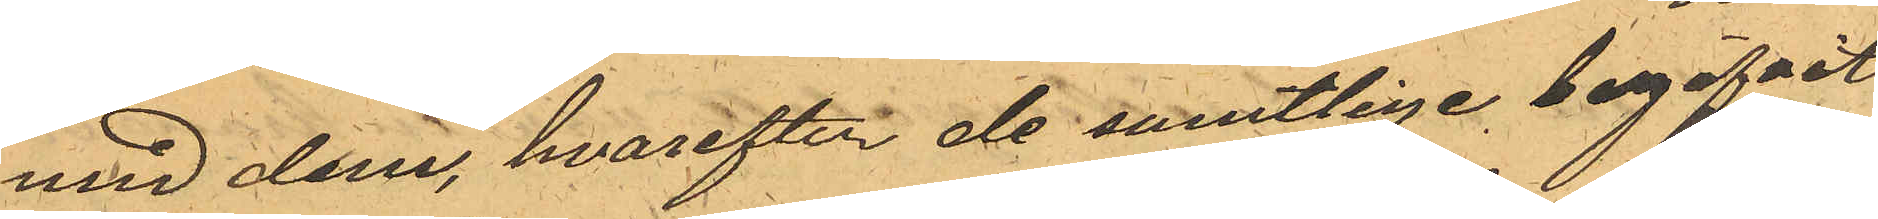med dem, hvarefter de samtlige begifvit
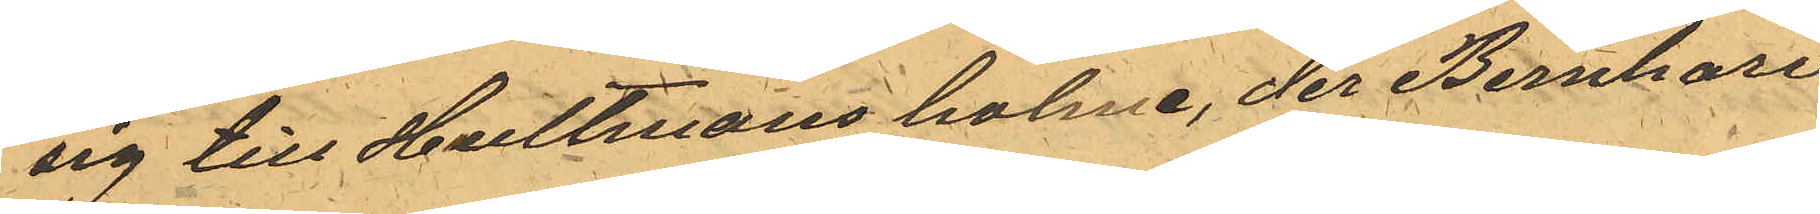sig till Hultmans holme, der Bernhard
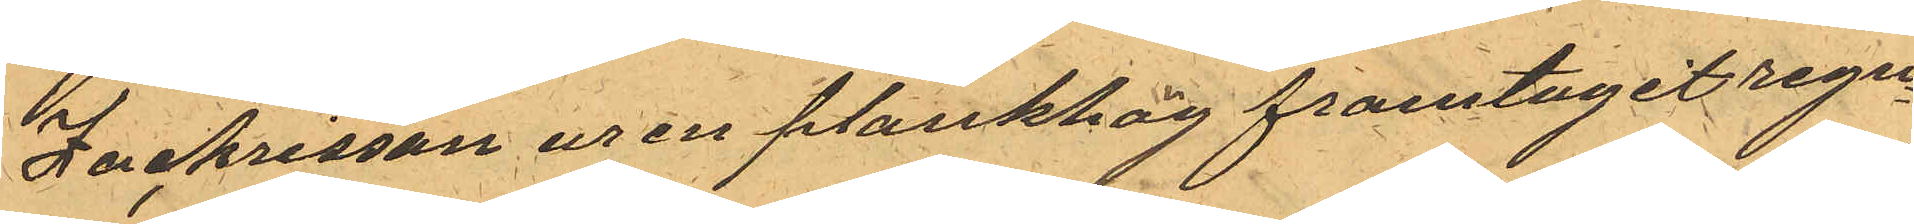Zachrisson ur en plankhög framtagit regn¬
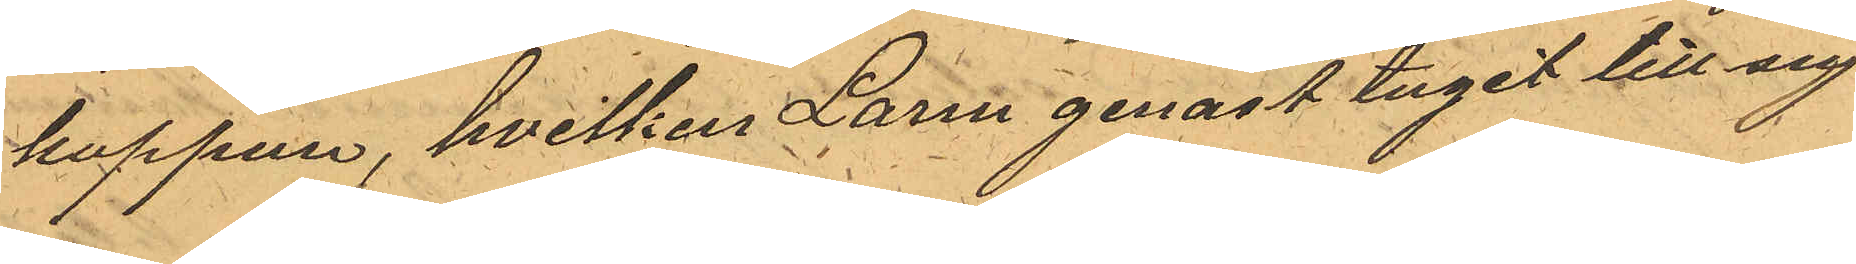kappan, hvilken Larm genast tagit till sig
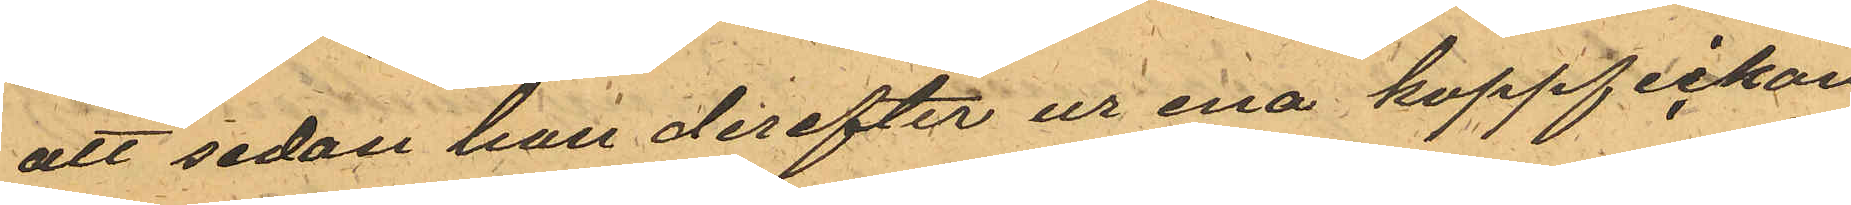att sedan han derefter ur ena kappfickan
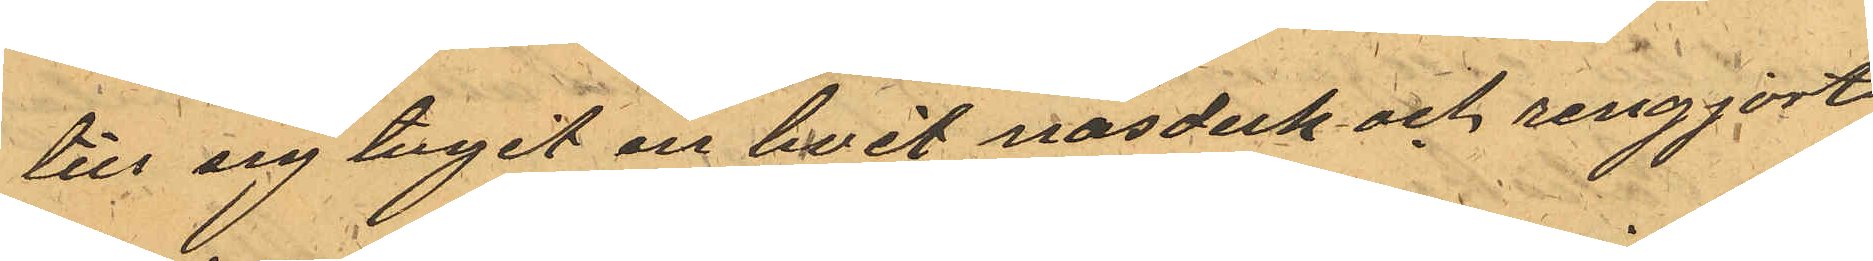till sig tagit en hvit näsduk och rengjort
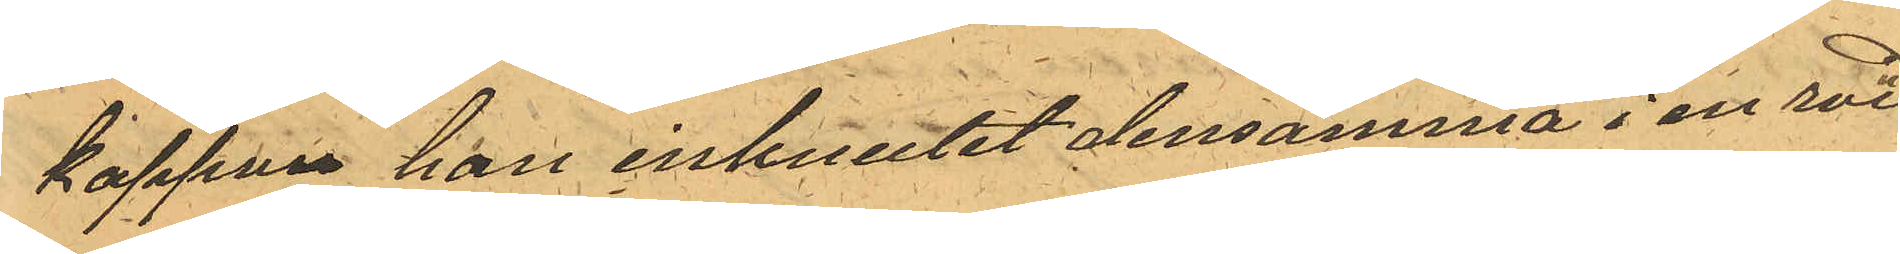kappan han inknutit densamma i en röd
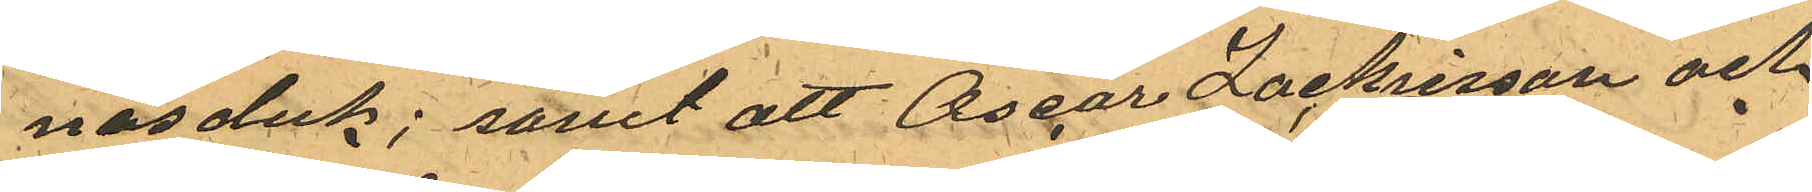näsduk; samt att Oscar Zachrisson och
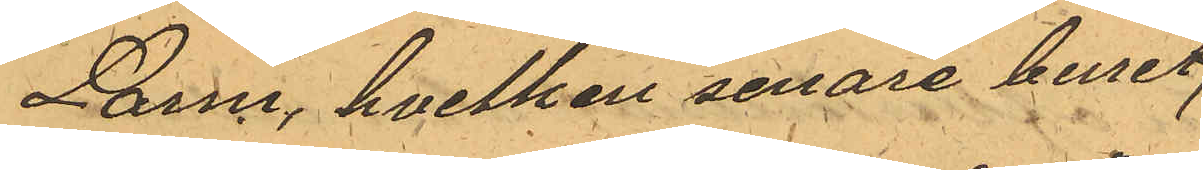Larm, hvilken senare buret
